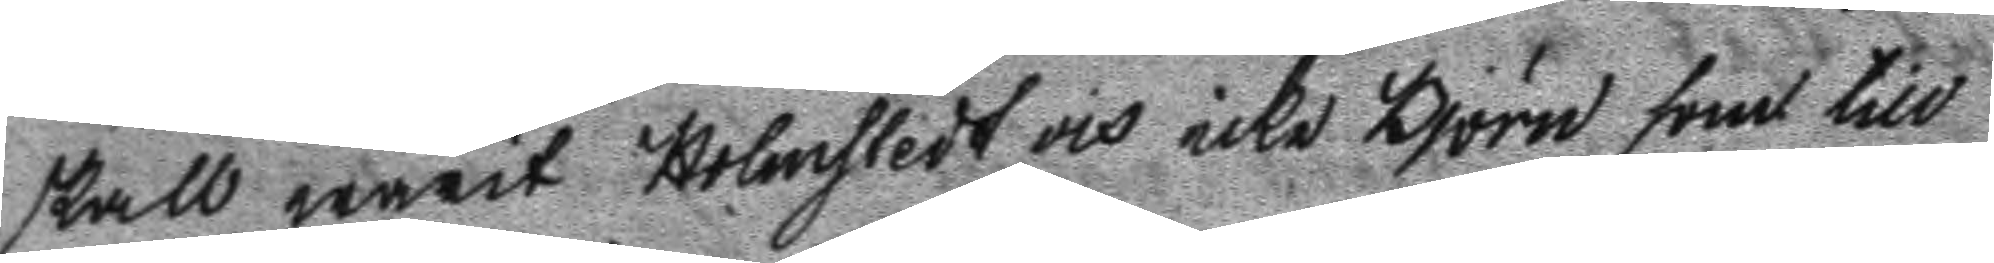skall warit Holmstedt och icke Björn som till
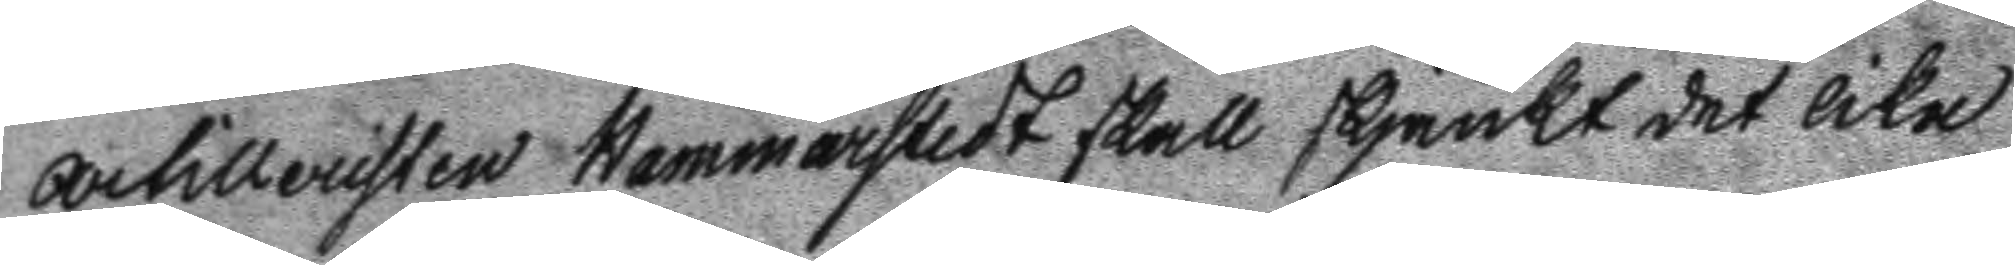artilleristen Hammarstedt skall skjänkt det lika
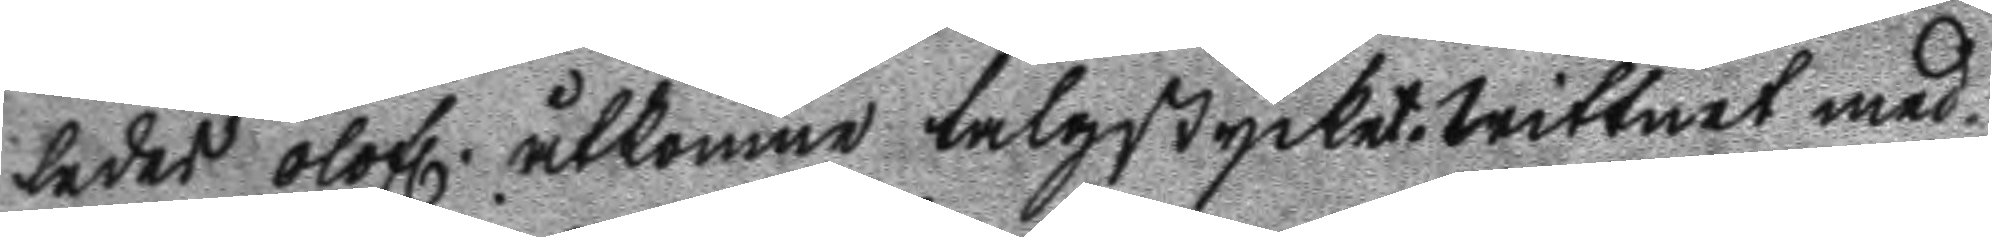ledes olofl. åtkomne talgstycket. Wittnet med
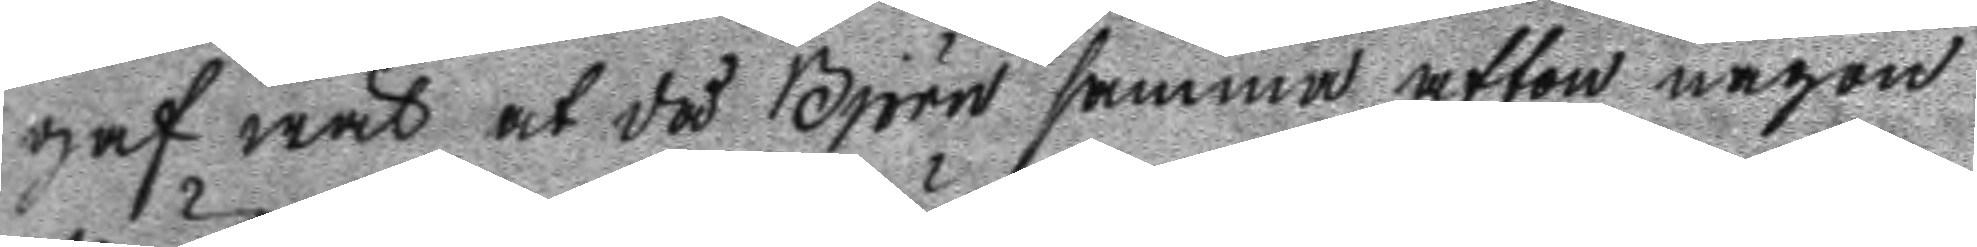gaf wäl at då Björn samma afton någon
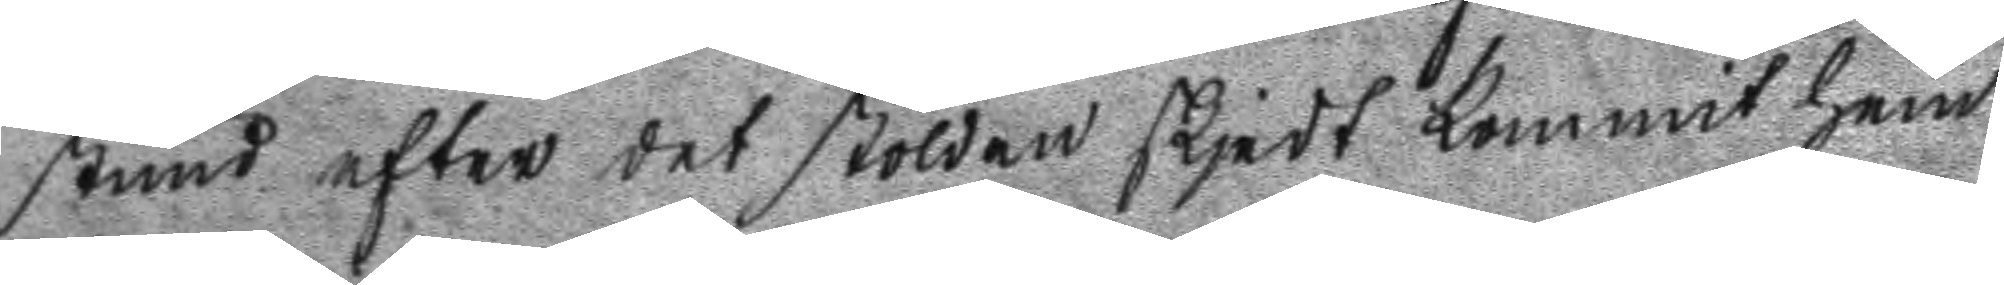stund efter det stölden skjedt kommit hem
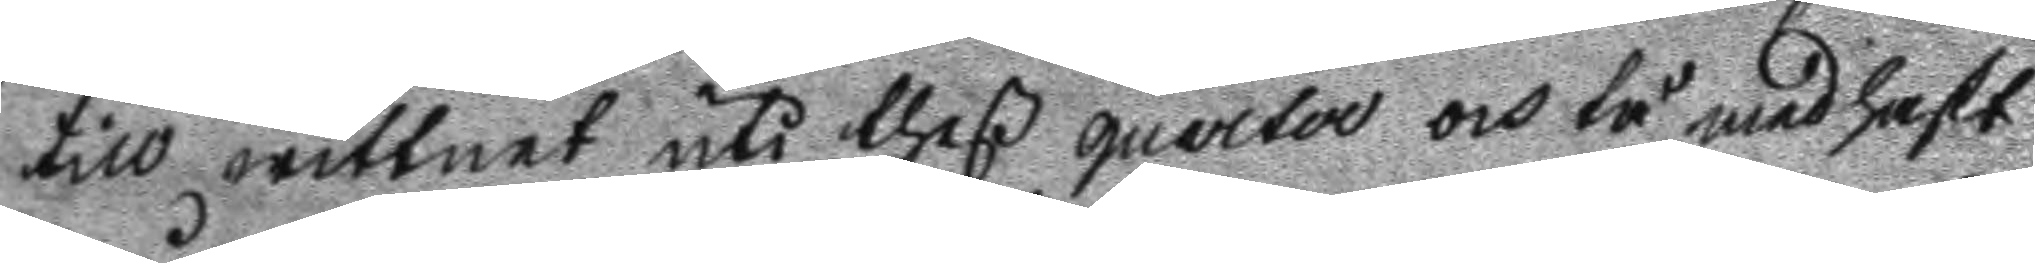till wittnet uti theß quarta och tå med haft
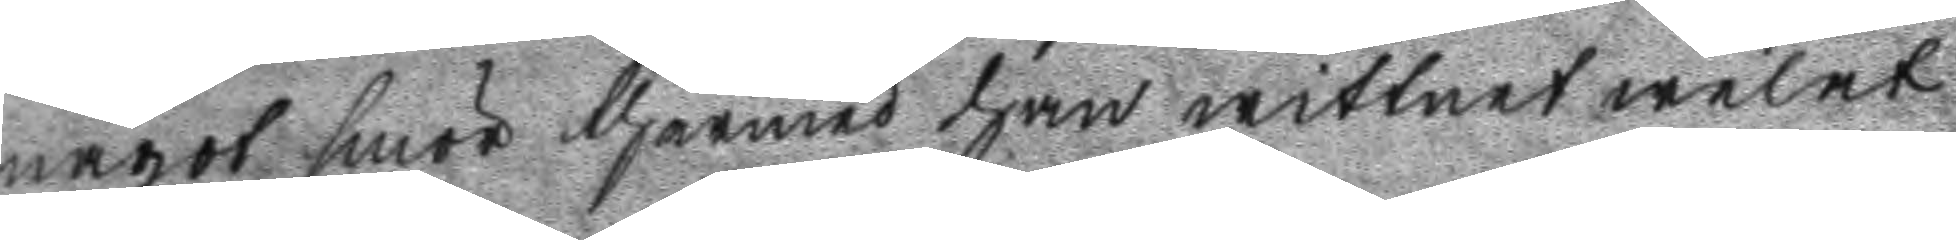något smör thermed han wittnet welat
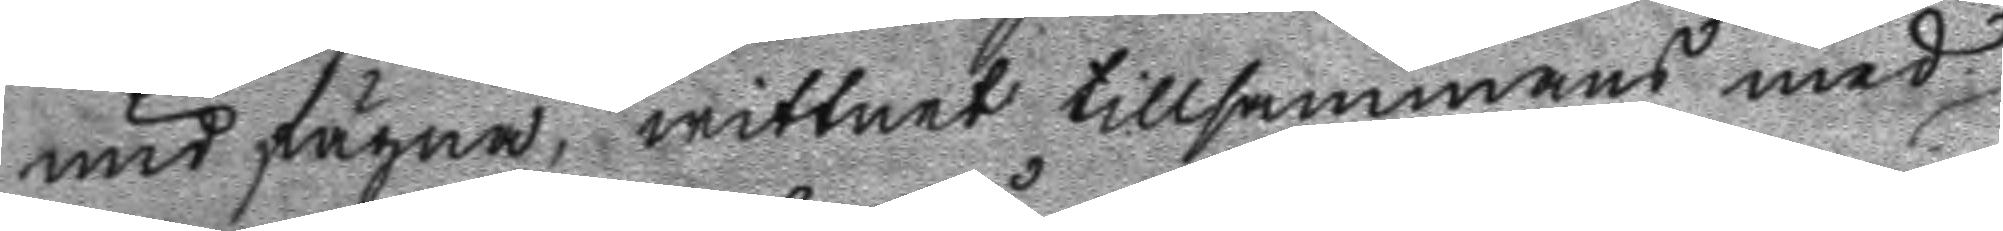undfägna, wittnet tillsammans med
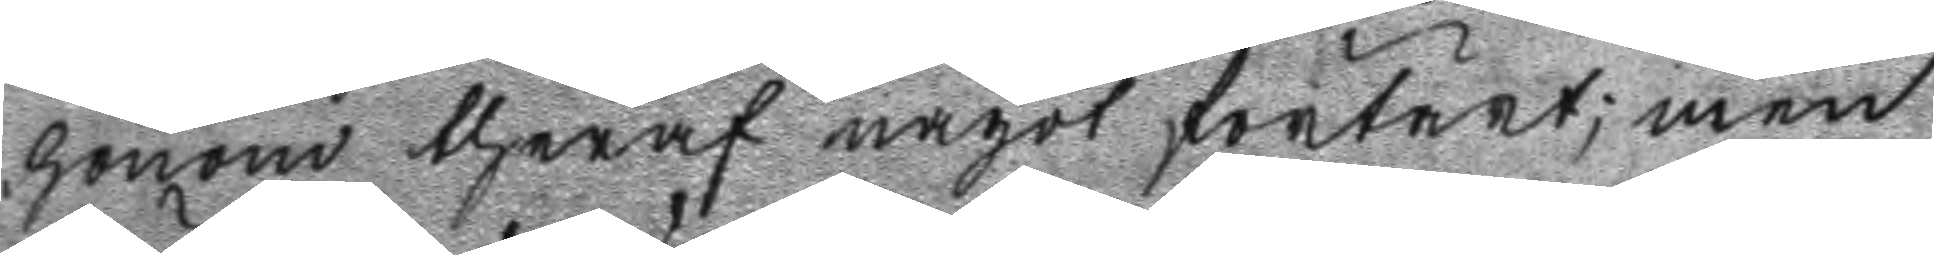honom theraf något förtärt; men
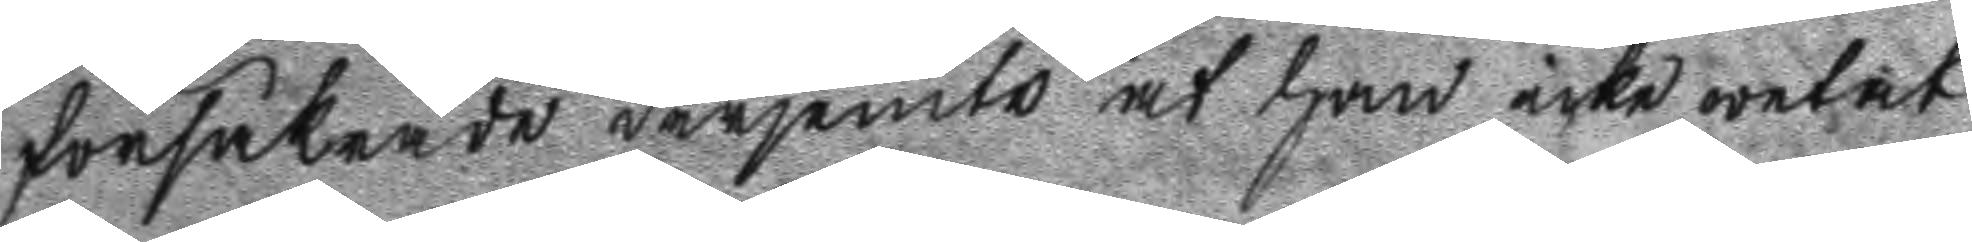förklarade derjemte at han icke wetat
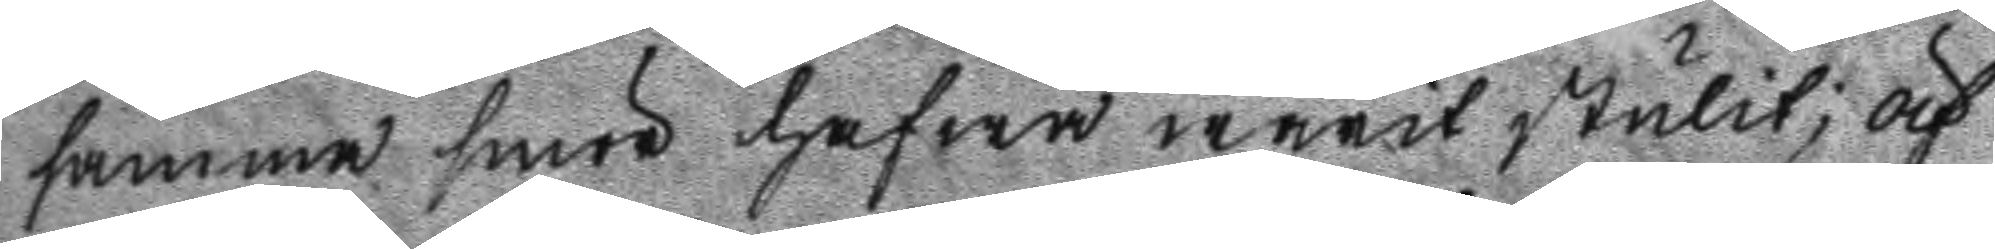samma smör hafwa warit stulit; äf
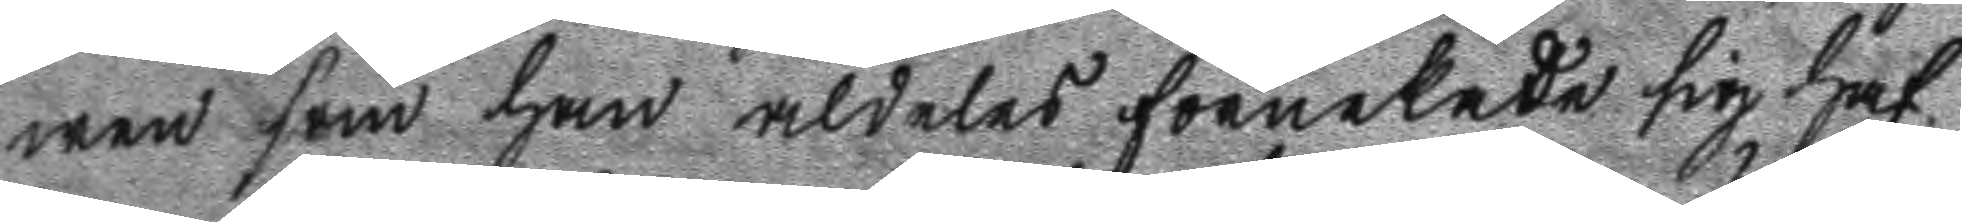wen som han aldeles förnekade sig haf
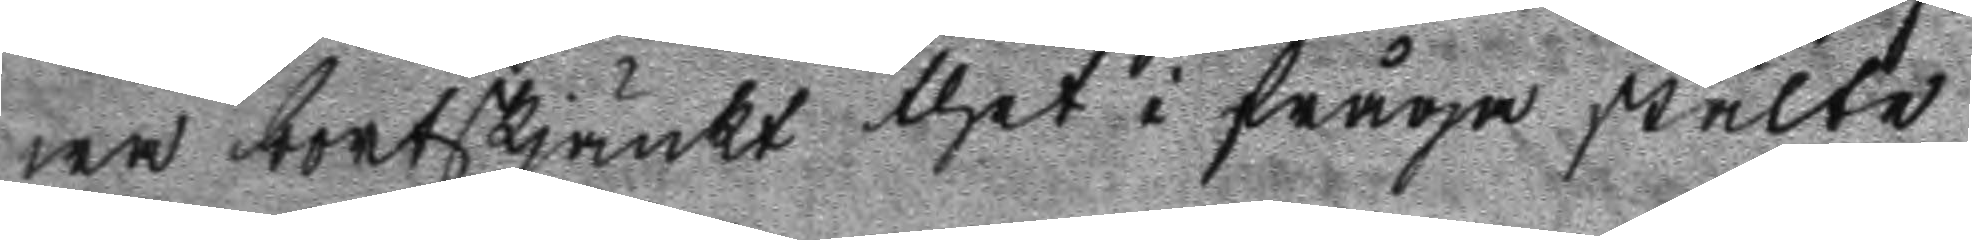wa bortskjänkt thet i fråga stulne
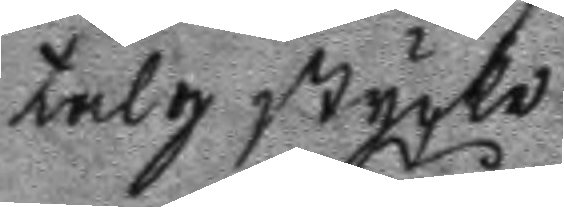talg stycke.
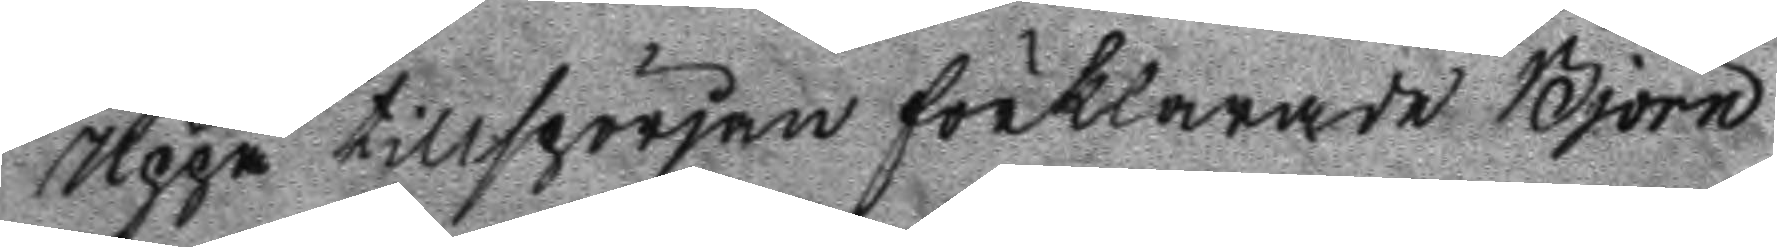Uppå tillspörjan förklarade Björn
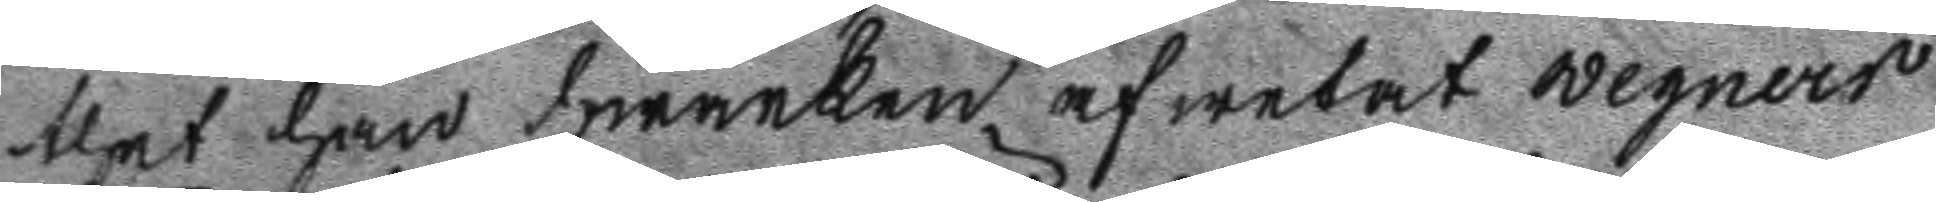thet han hwarken af wetat wegners
